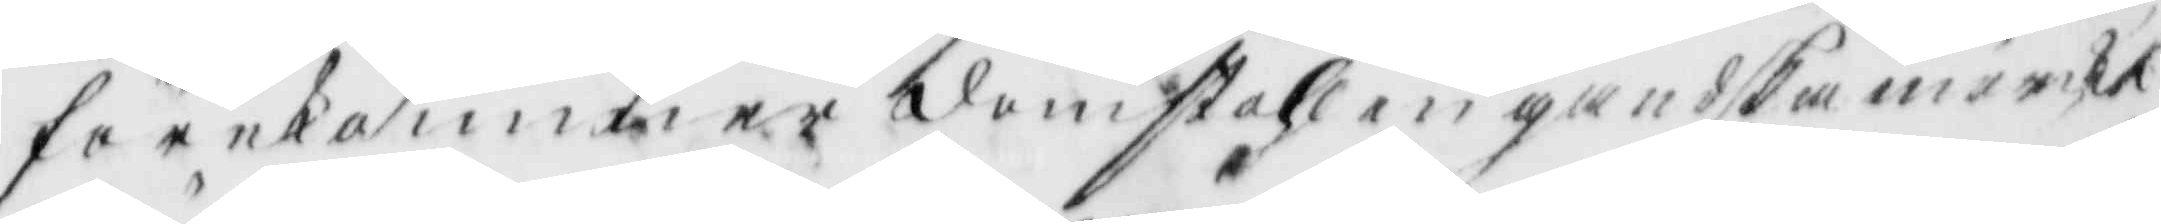förekommer domstohlen gandksa märckt
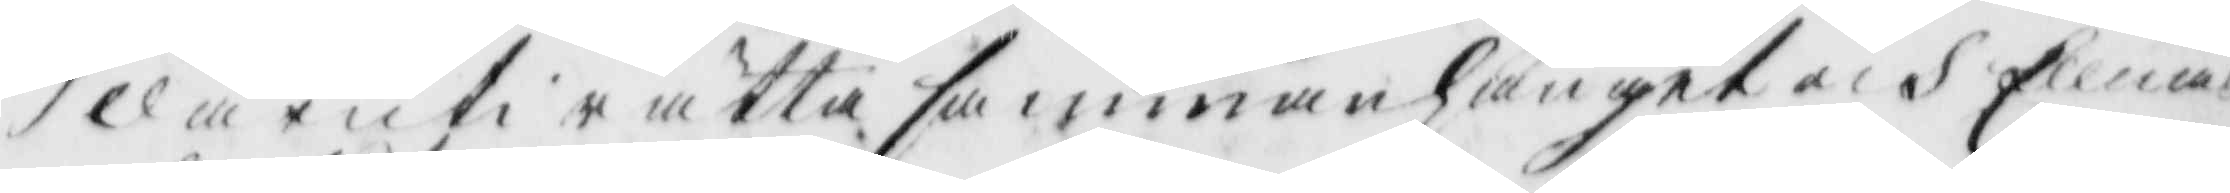där uti rätta sammanhanget och Ellnas
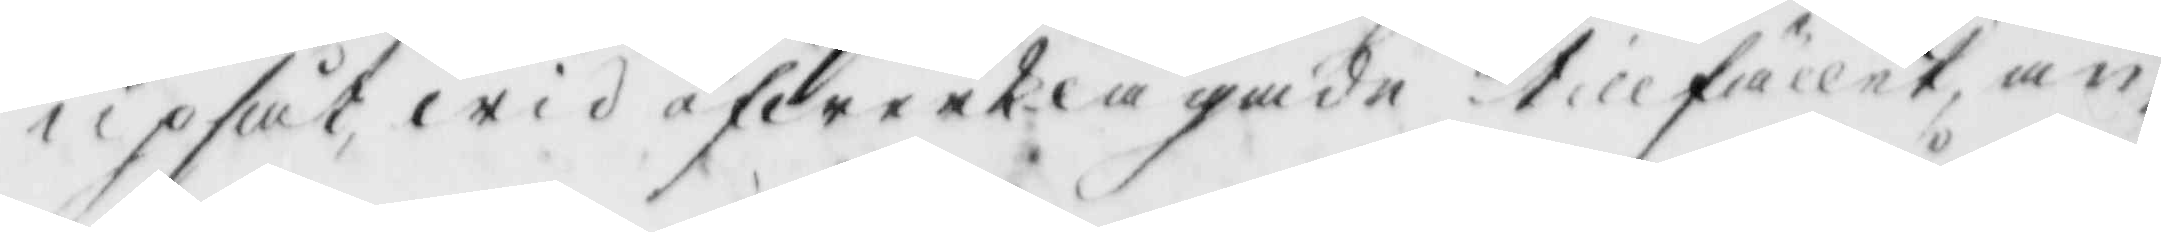upsåt wid öfwerklagade tillfället an¬
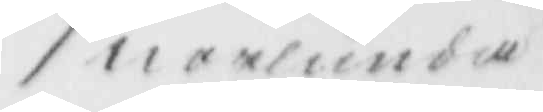norlunda
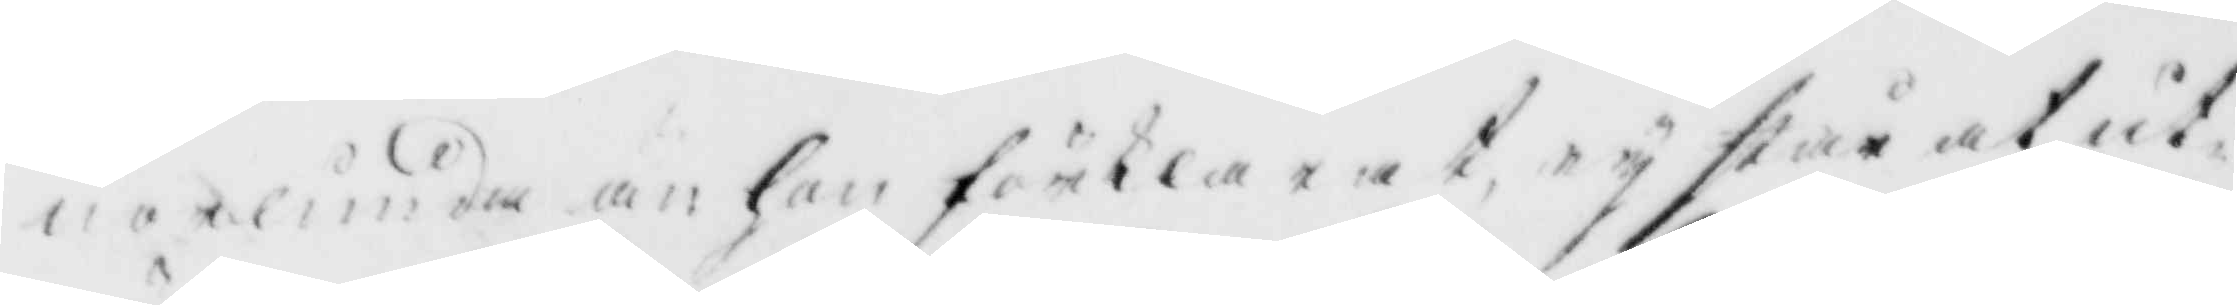norlunda än hon förklarat, ey stå at ut¬
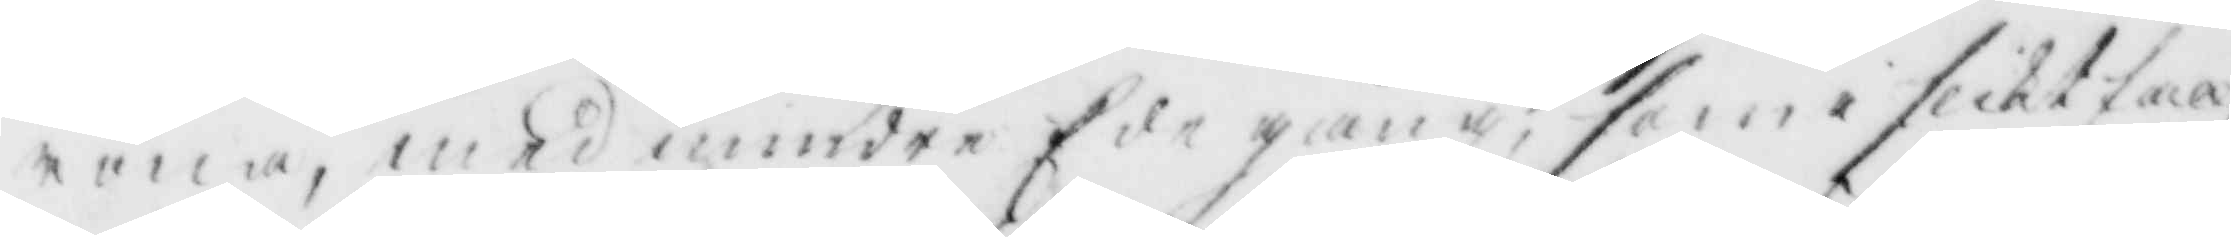röna, med mindre Ede gång, som i slikt far
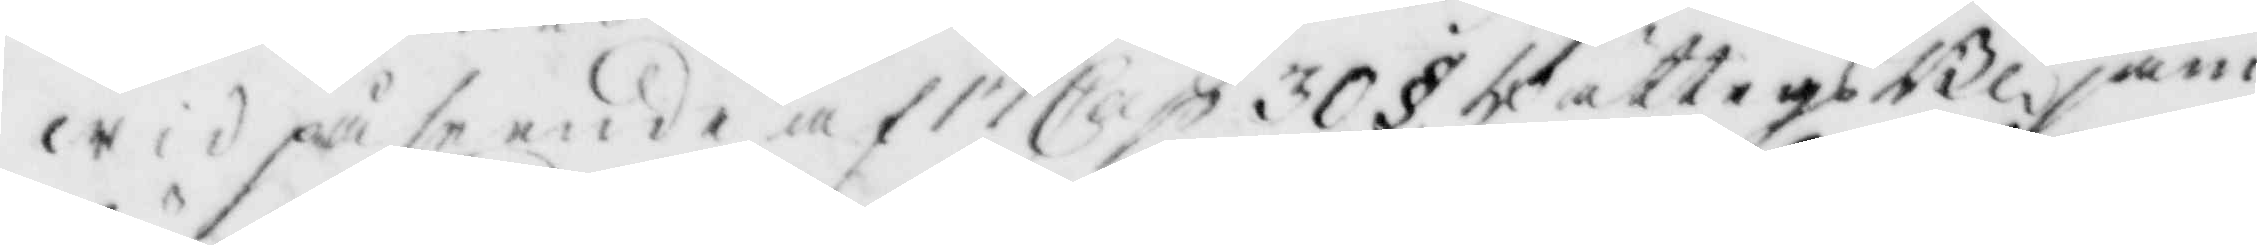wid påseende af 17 Cap. 30 § rättegångsBl. jäm¬
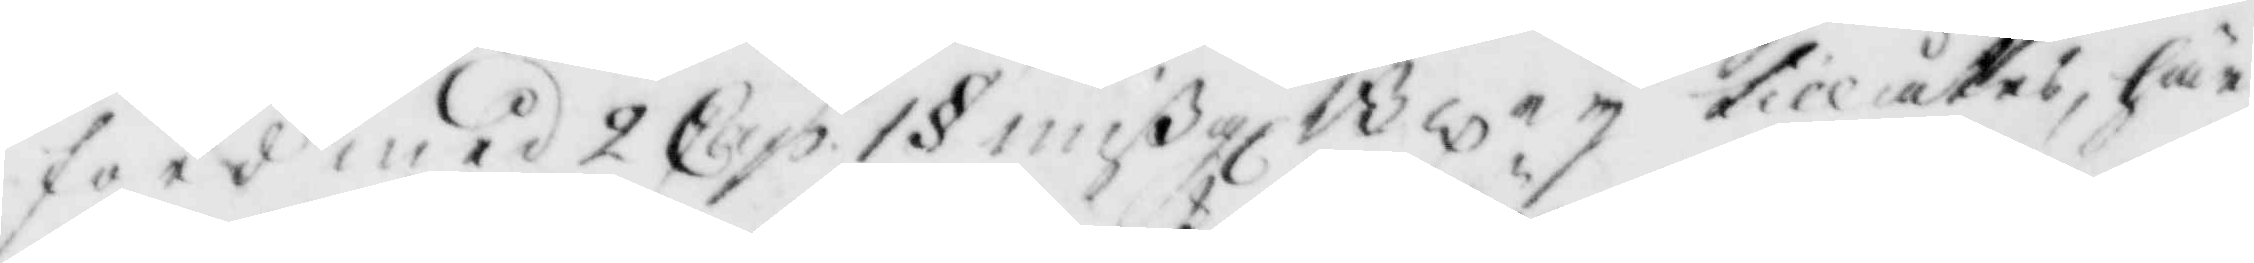förd med 2 Cap. 1 § mißgjBl. ey tillåtes, här
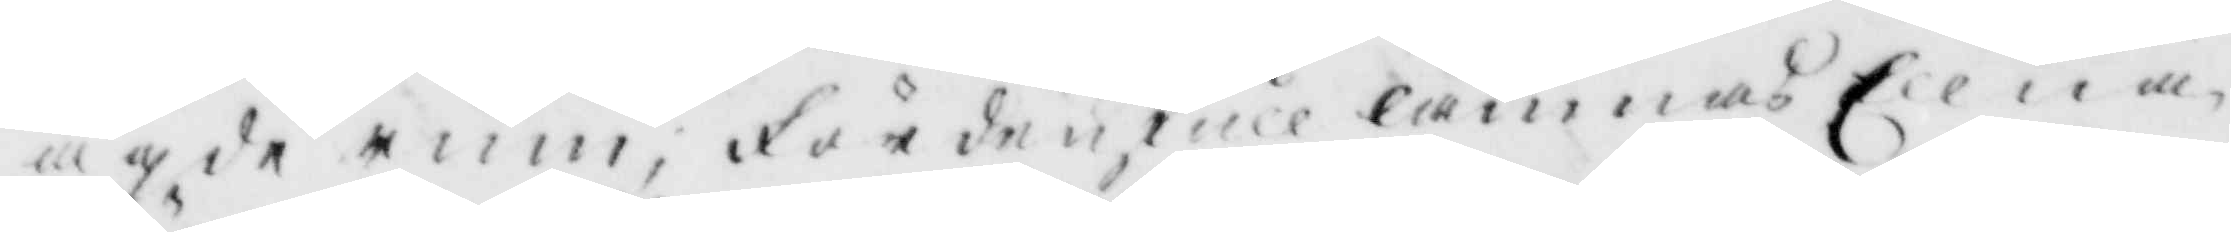ägde rum, fördenskull lämnas Ellna
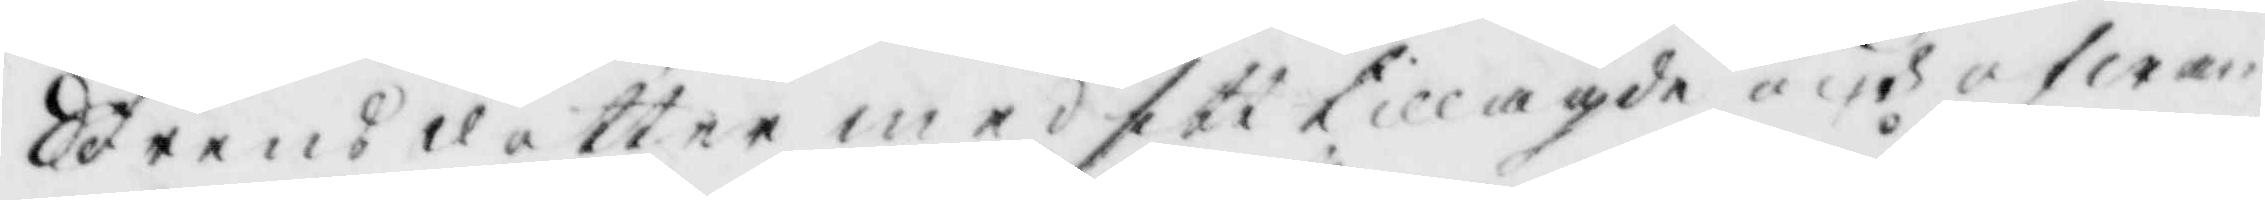Sörensdotter med sitt tillagde och ofwan
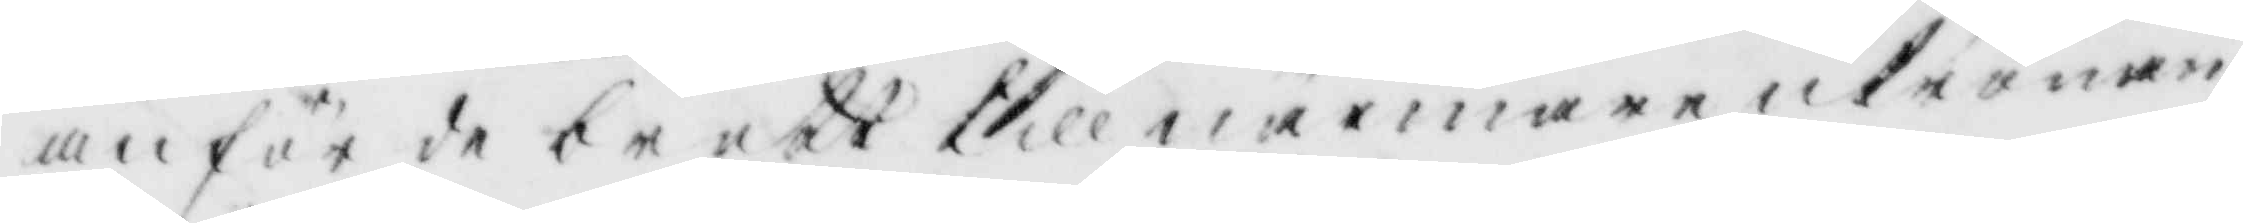anförde brott till närmare utrönan¬
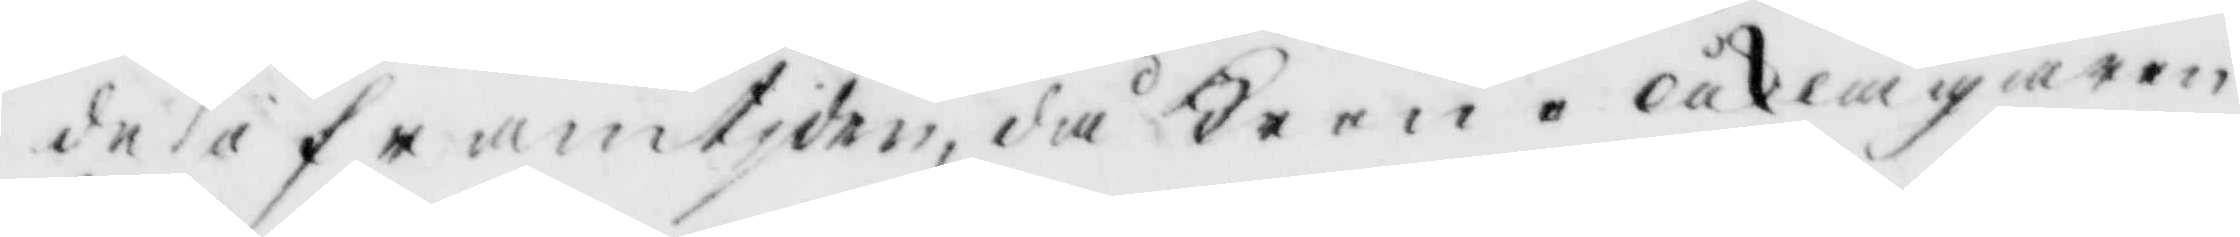de i framtiden, då krono åklagaren
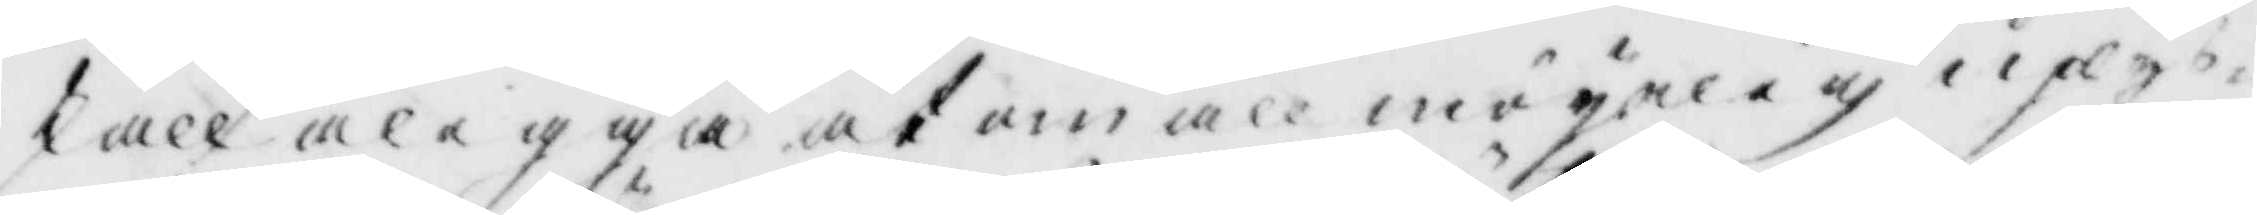skall ålegga at om all möyelig uplys¬
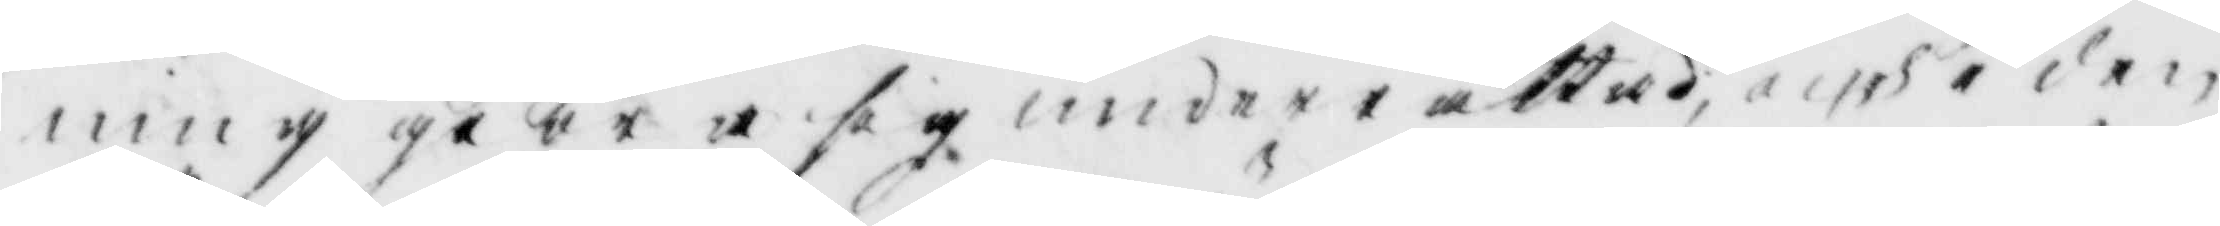ning giöra sig underrättas, och i den
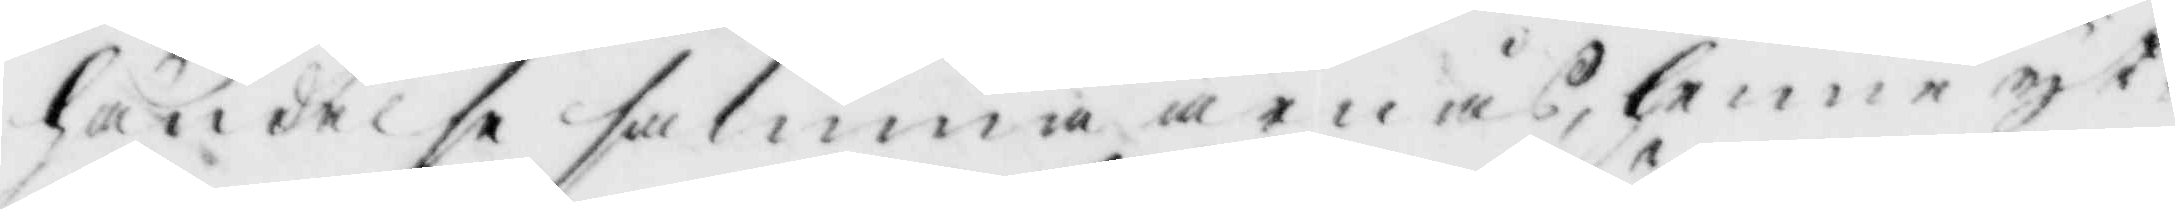händelse samma ärnås, henne yt¬
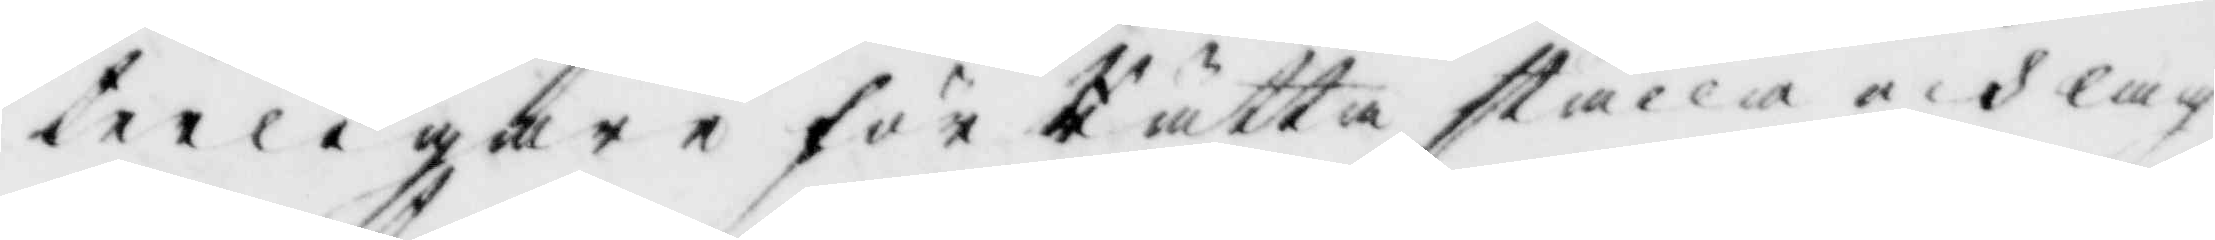terligare för Rätta ställa och lag¬
